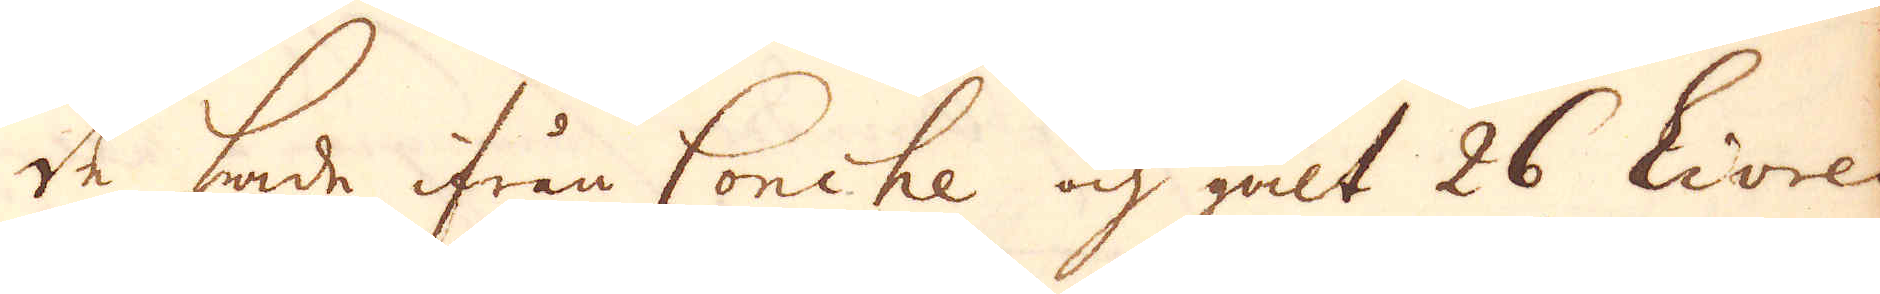de hade ifrån Conche och galt 26 Livres,
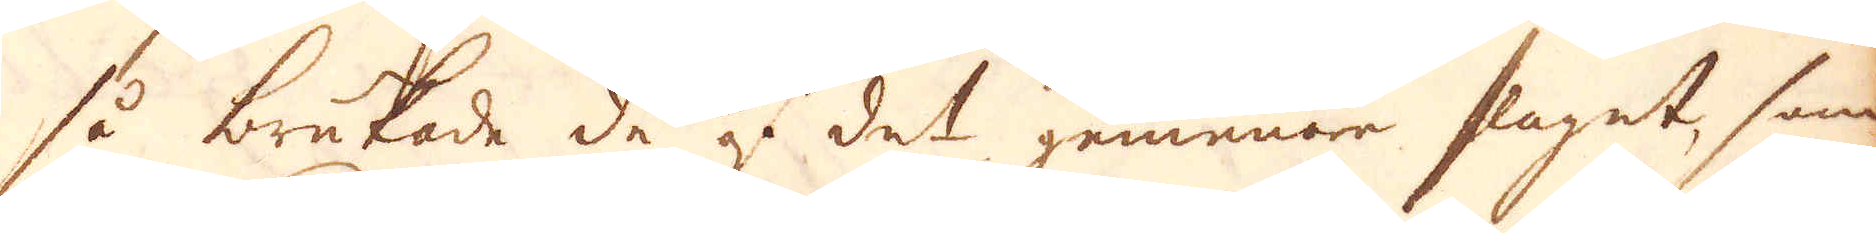så brukade de ju det gemena slaget, som
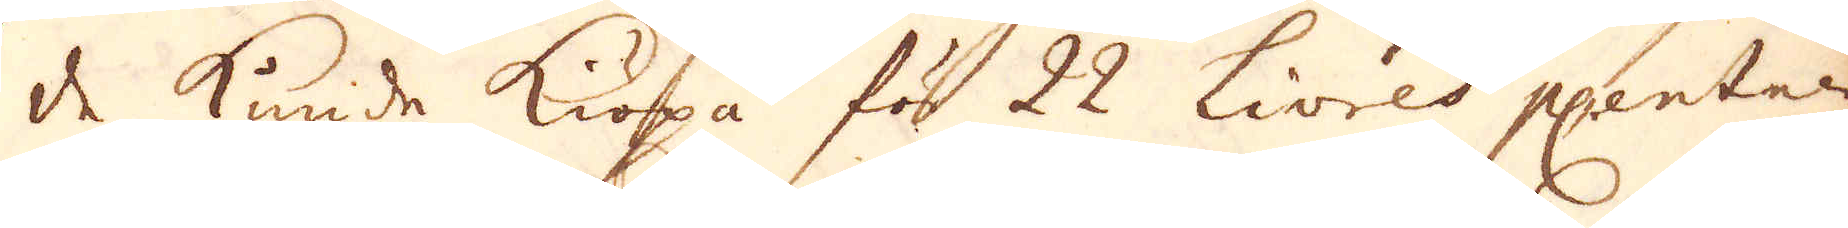de kunde Kiöpa för 22 Livres p centner,
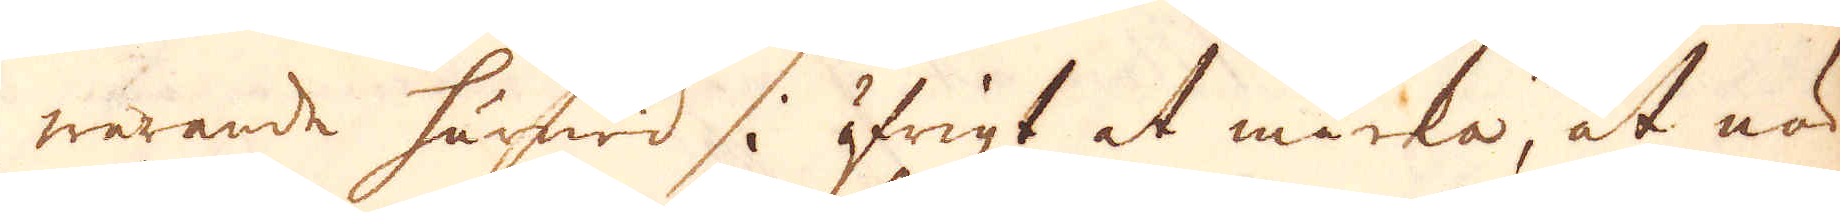warande härwid i öfrigt at märka, at när
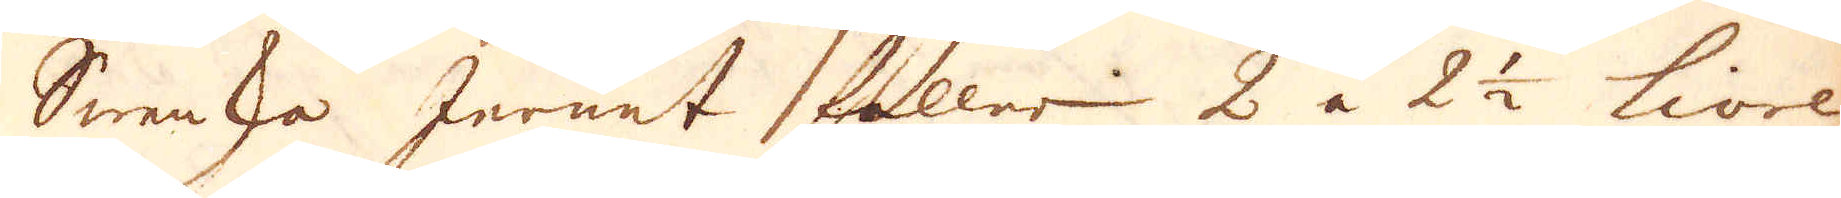Swenska Jernet faller 2 a 2 1/2 livre
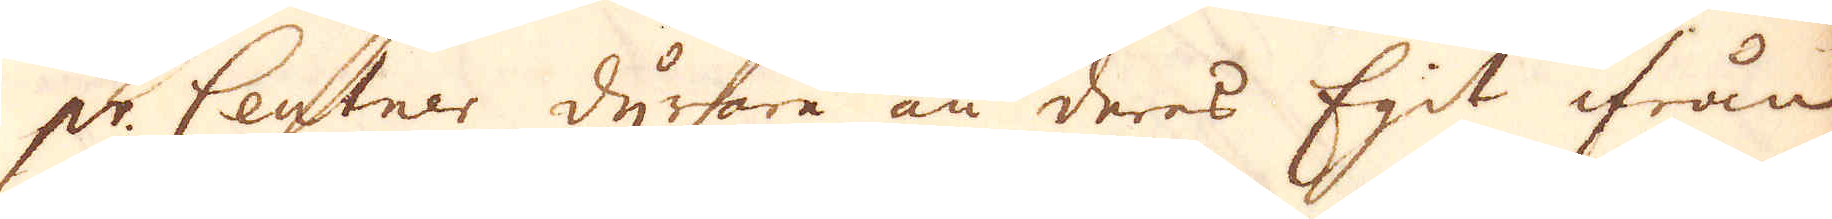pr. Centner dyrare än deras Egit ifrån
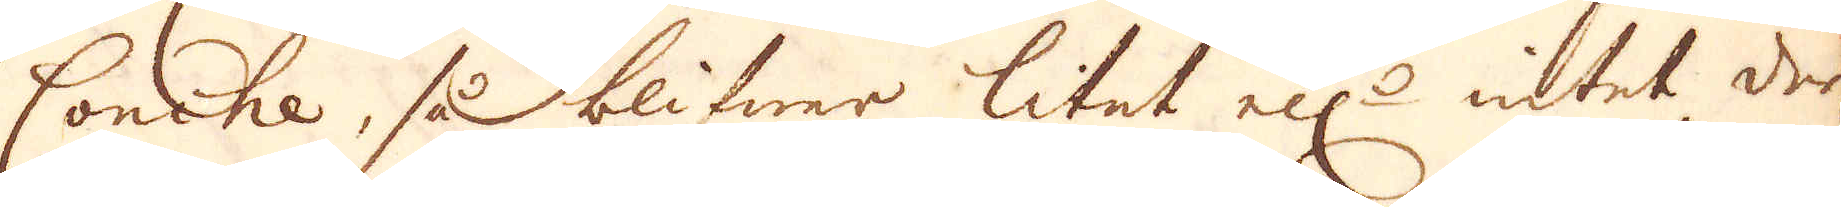Conche, så blifwer litet ell:r intet der-
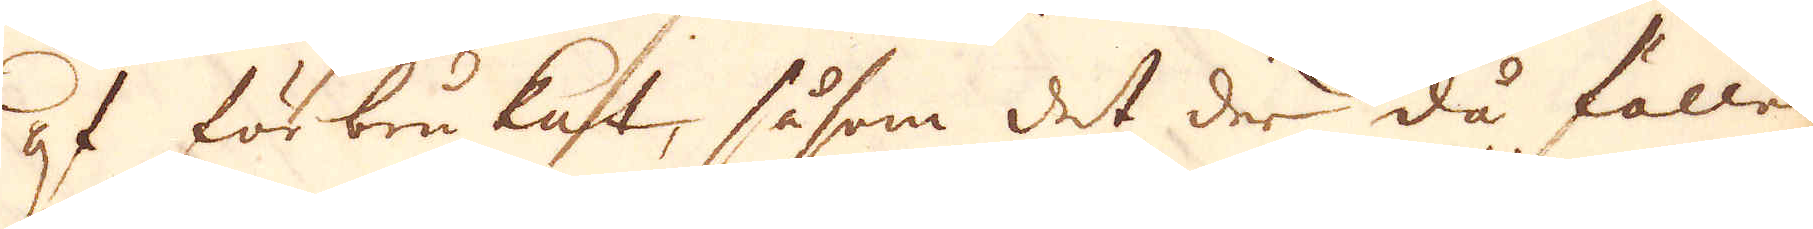af förbrukat, såsom det der då faller
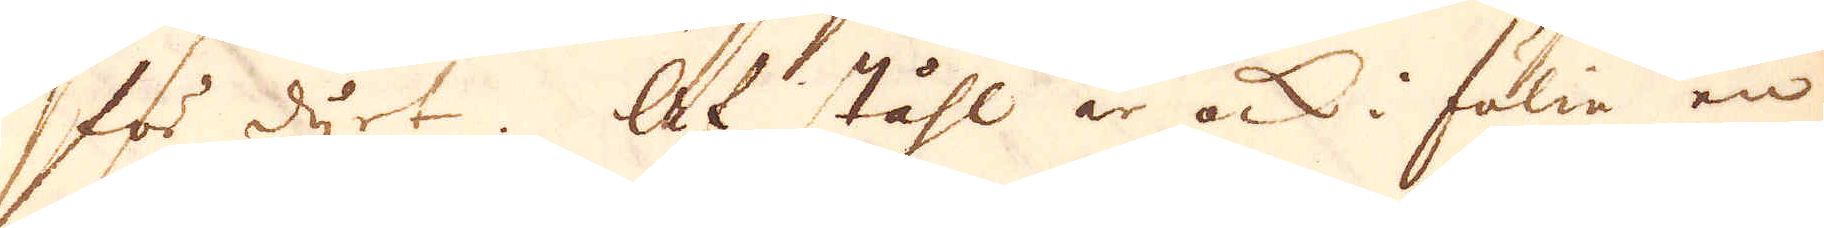för dyrt. Af ståhl är ock i fölie en
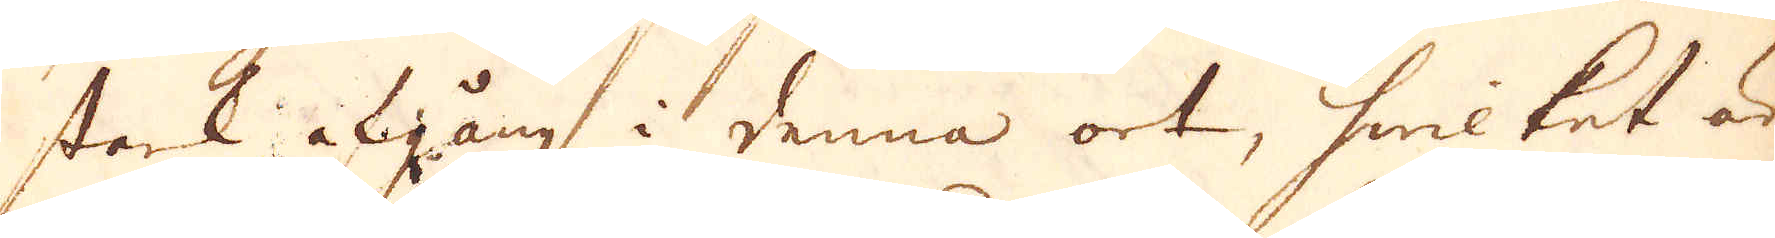stark afgång i denna ort, hwilket är
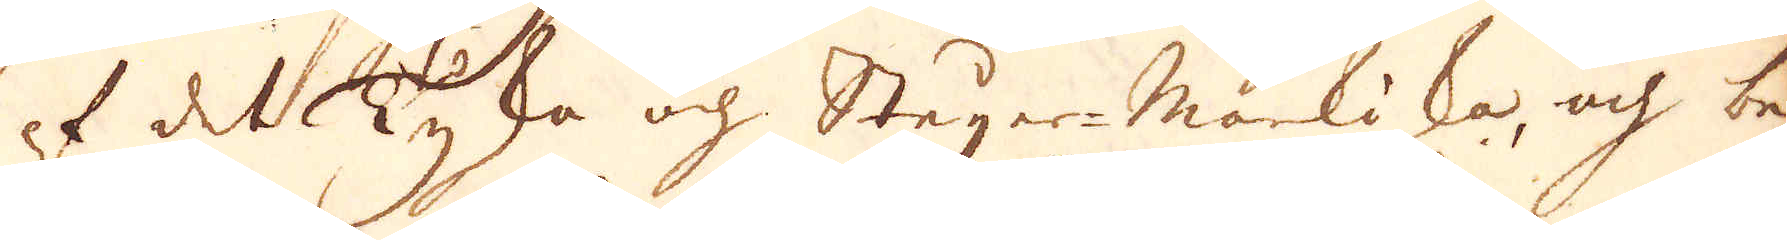af det Tyska och Steijer-Markiska, och be-
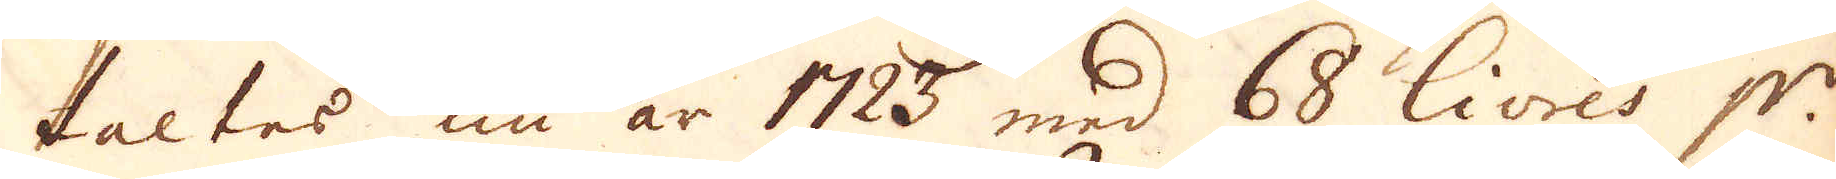taltes nu år 1723 med 68 Livres p:r
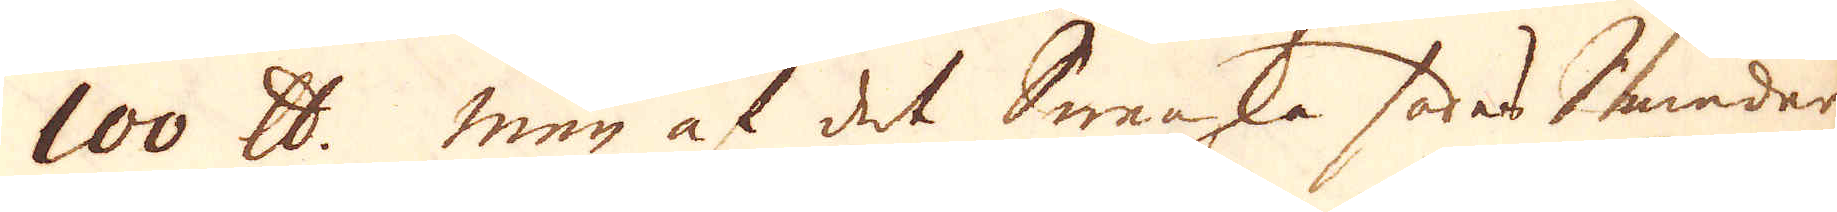100 skålpund. Men af det Swenska sades Smeder-
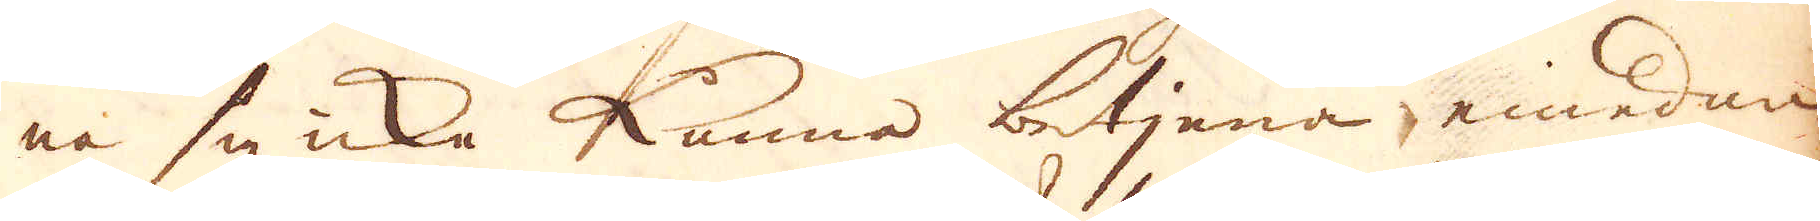na sig icke kunna betjena emedan
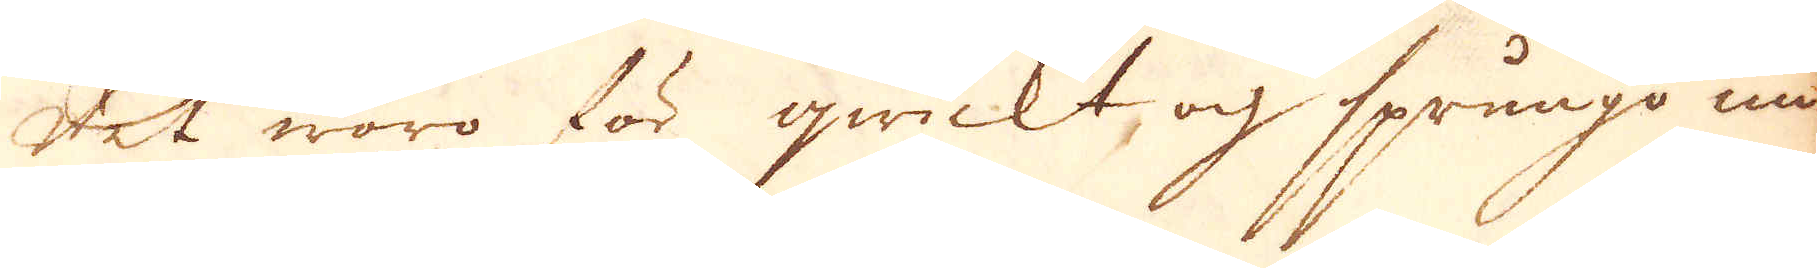det woro för qwickt och sprungo un-
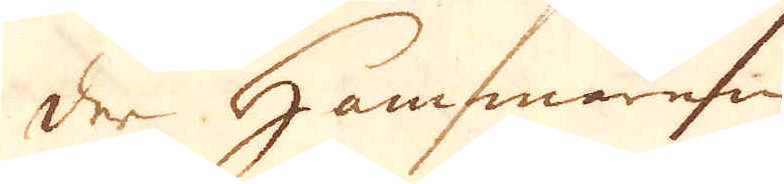der Hammaren.
